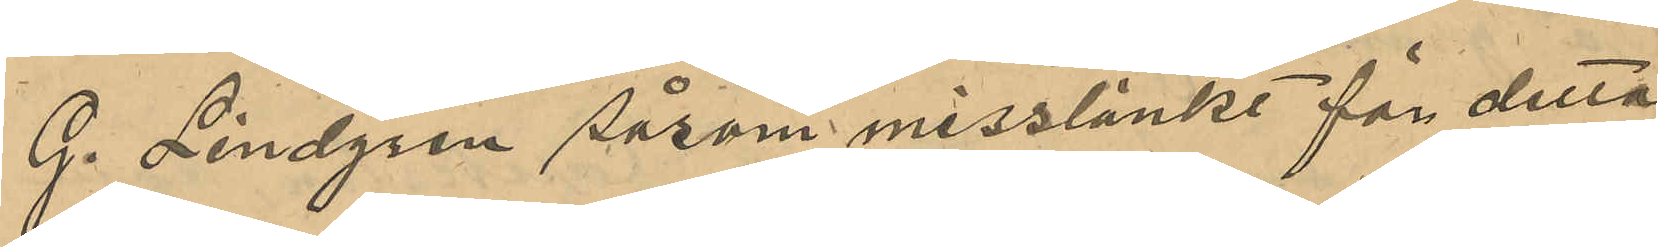G. Lindgren såsom misstänkt för detta
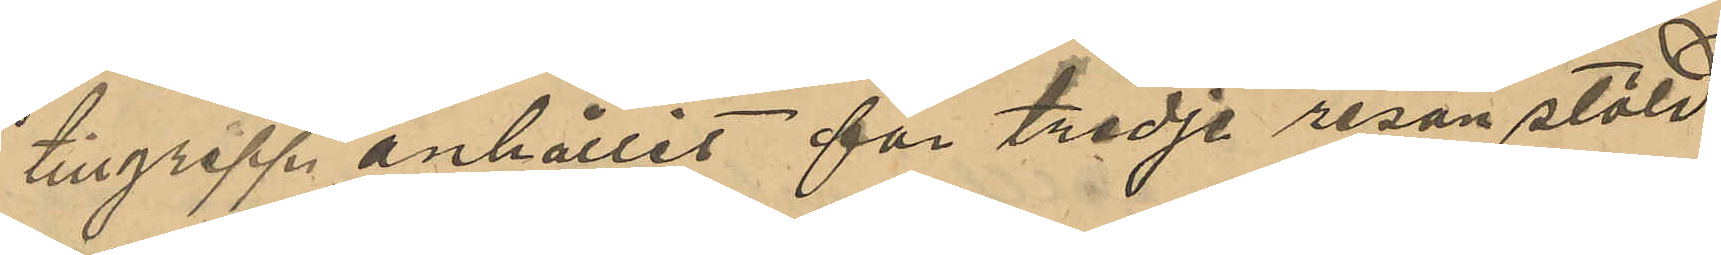tillgrepp anhållit för tredje resan stöld
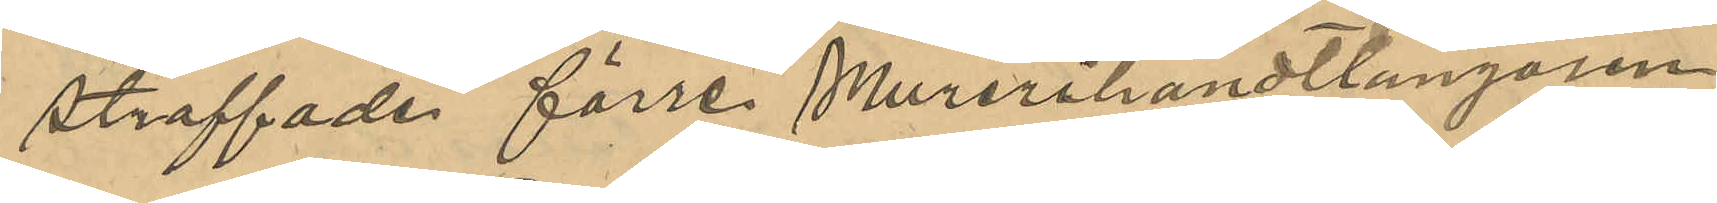straffade förre Murerihandtlangaren
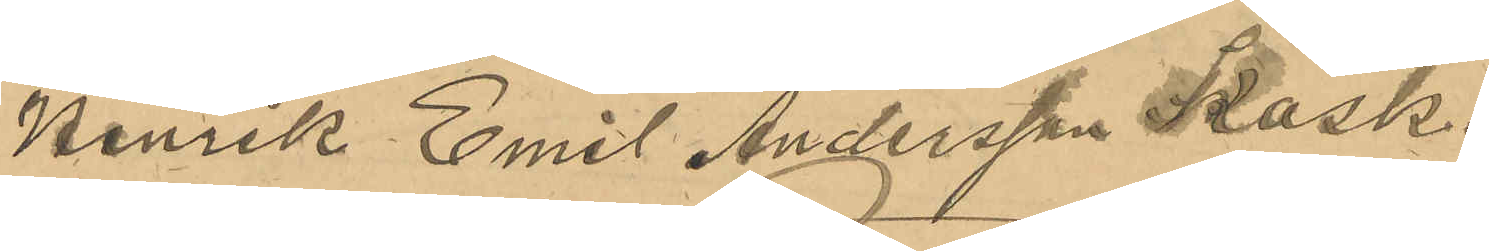Henrik Emil Andersson Kask,
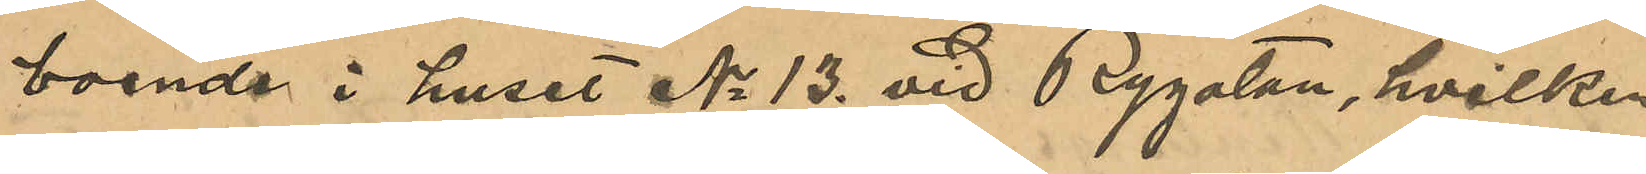boende i huset No 13 vid Rygatan, hvilken
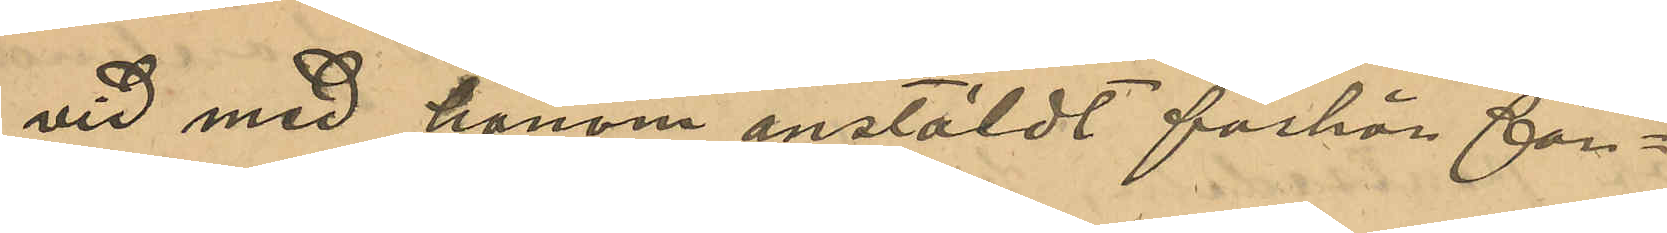vid med honom anstäldt förhör för¬
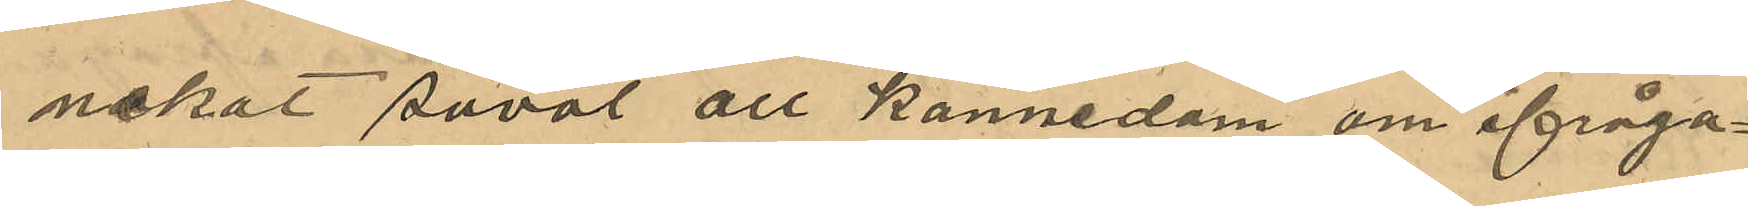nekat såväl all kännedom om ifråga¬
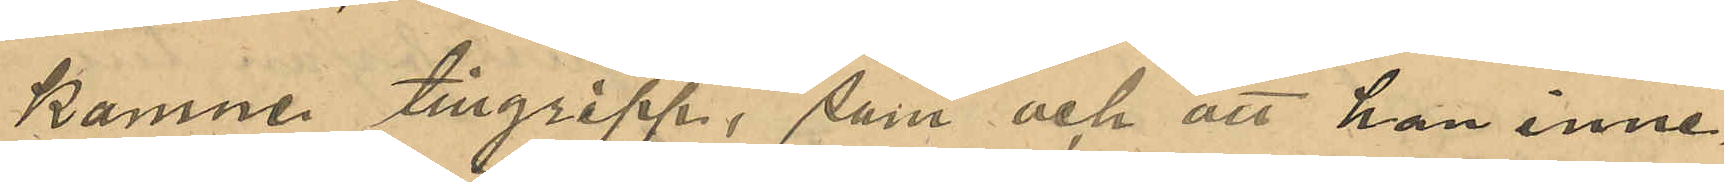komne tillgripp, som och att han inne¬
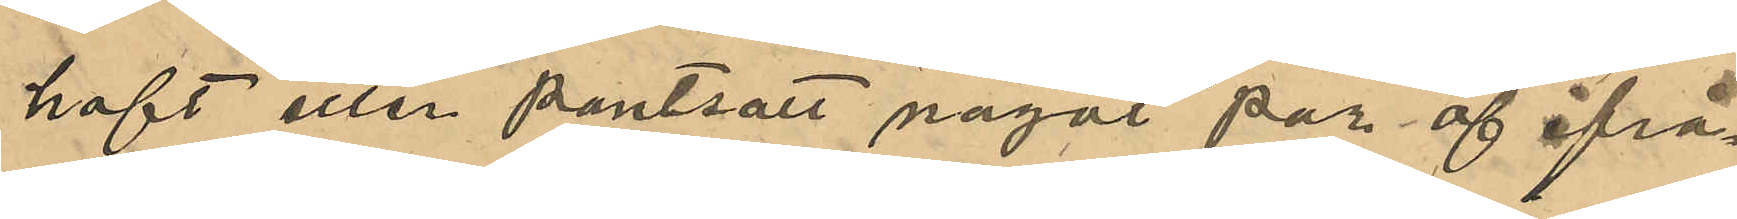haft eller pantsatt något par af ifrå¬
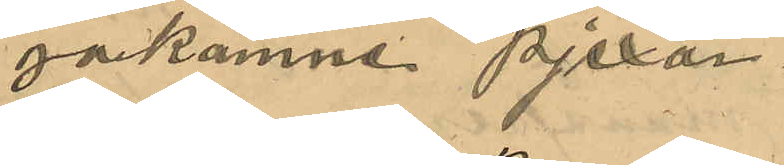gakomne pjexor.
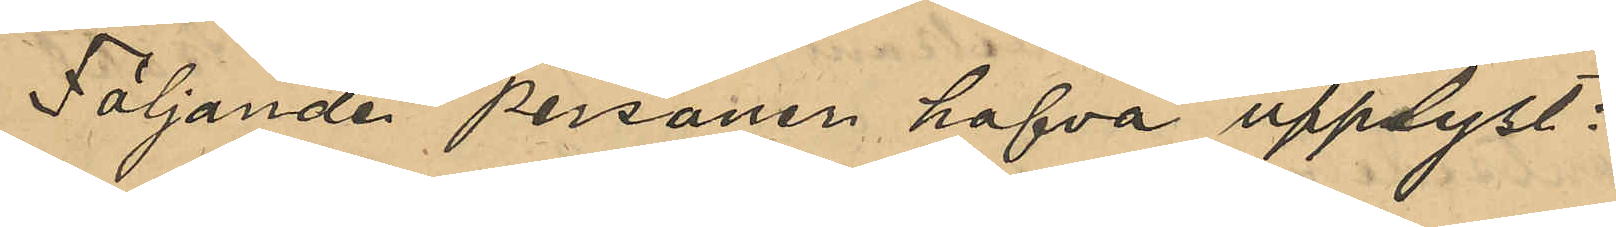Följande personer hafva upplyst:
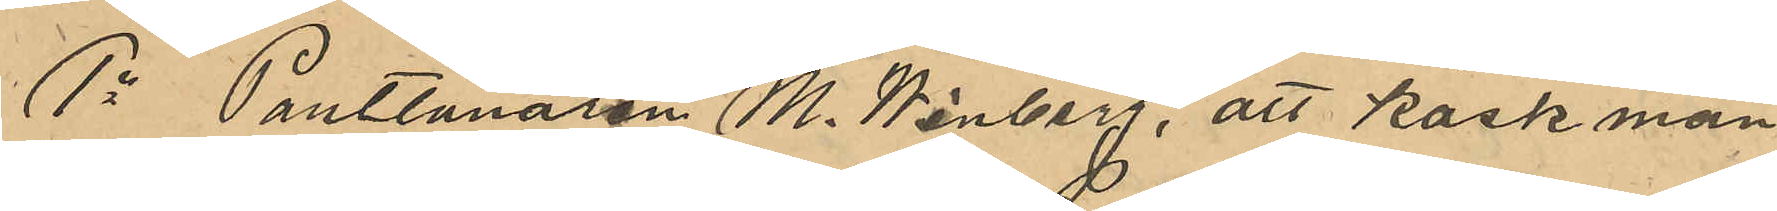1o Pantlånaren M. Winberg, att Kask mån¬
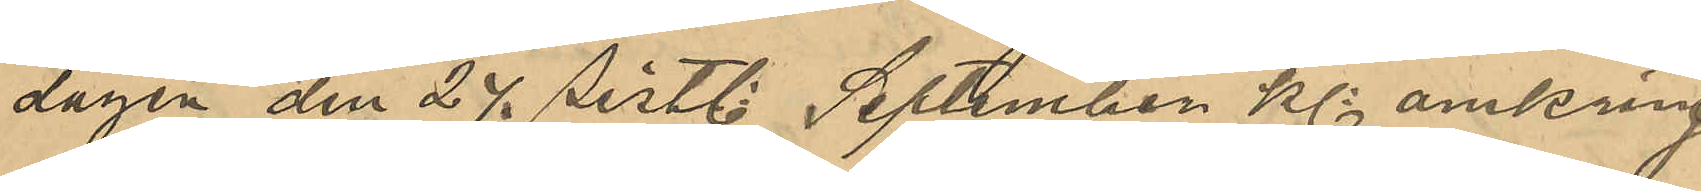dagen den 24 sistl. September Kl omkring
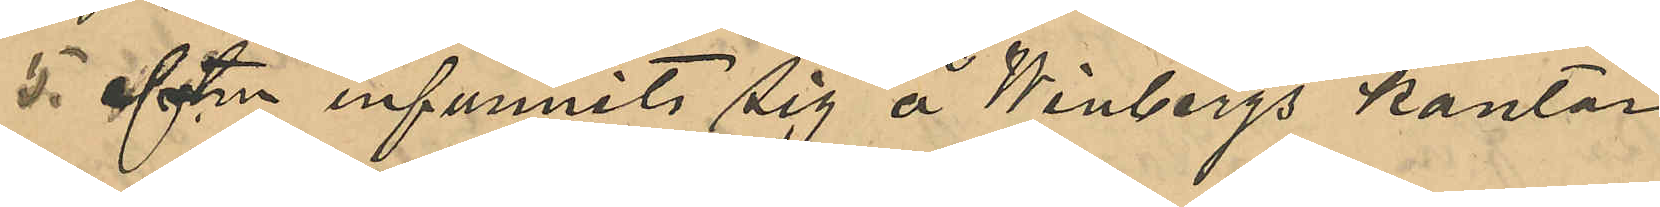5 eftm infunnit sig å Winbergs kontor
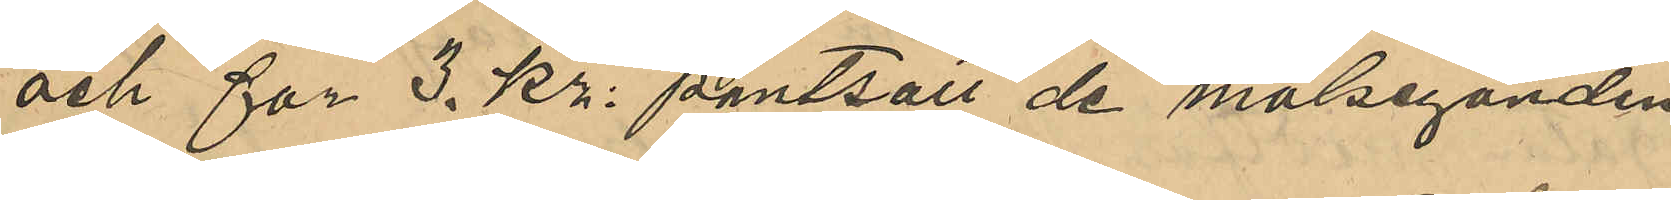och för 3. Kr: pantsatt de målseganden
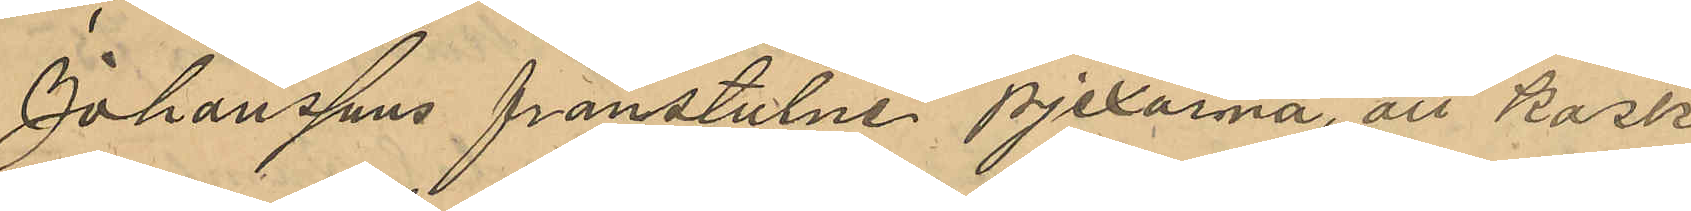Johanssons frånstulne pjexorna, att Kask
